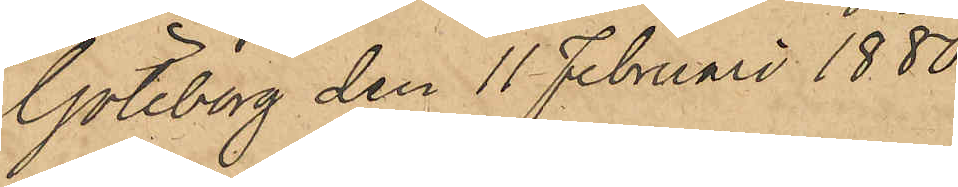Göteborg den 11 Februari 1880.
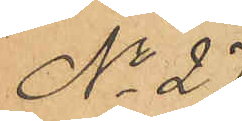No 27.
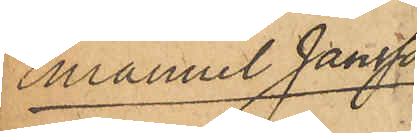Emanuel Jansson
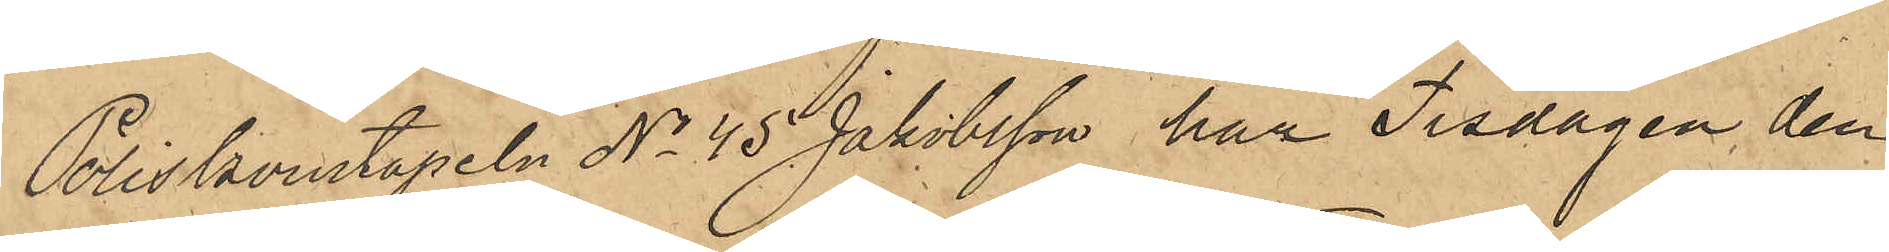Poliskonstapeln No 45 Jakobsson har Tisdagen den
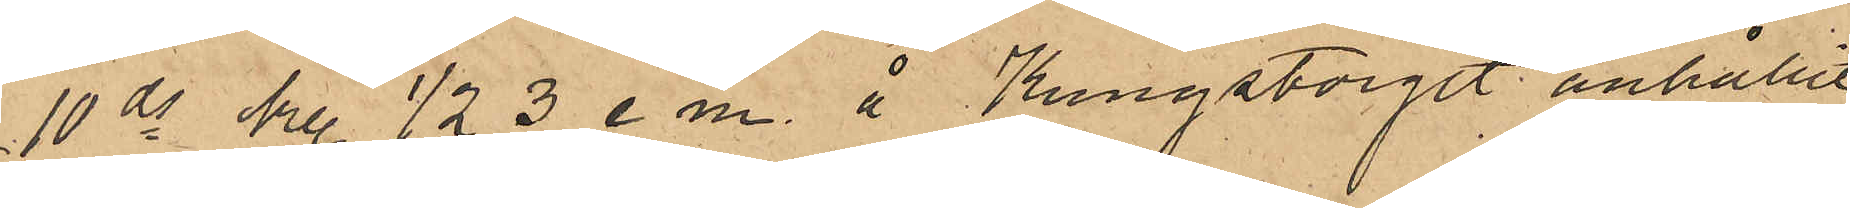10 ds kl. 1/2 e m, å Kungstorget anhållit
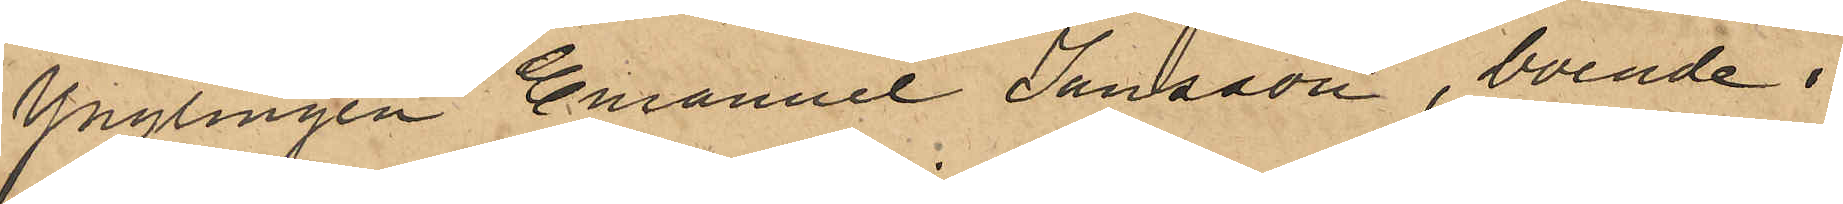Ynglingen Emanuel Jansson, boende i
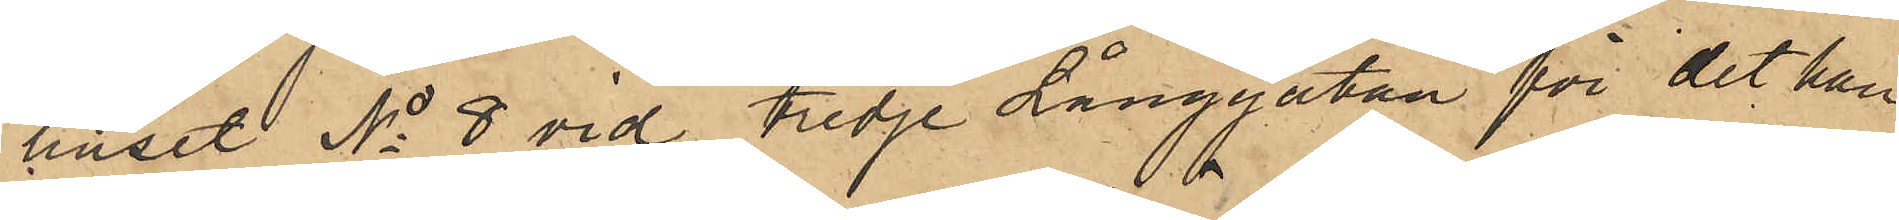Huset No 8 vid tredje Långgatan för det han
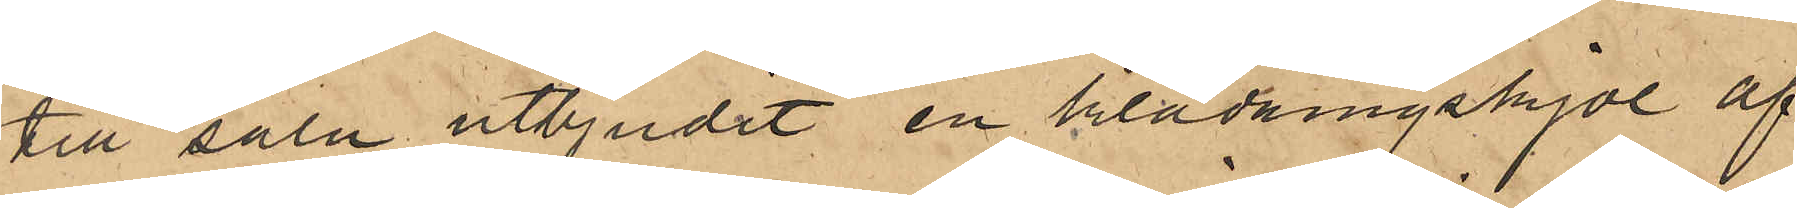till salu utbjudit en klädningskjol af
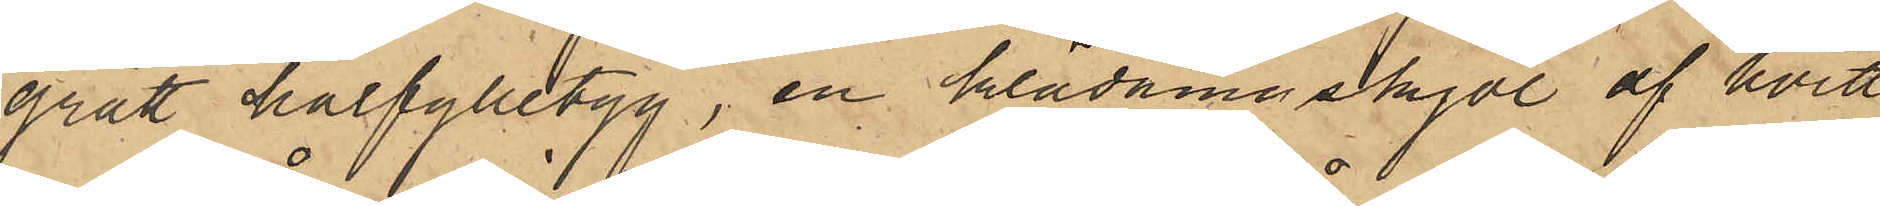af grått halfylletyg, en klädningkjol af hvitt
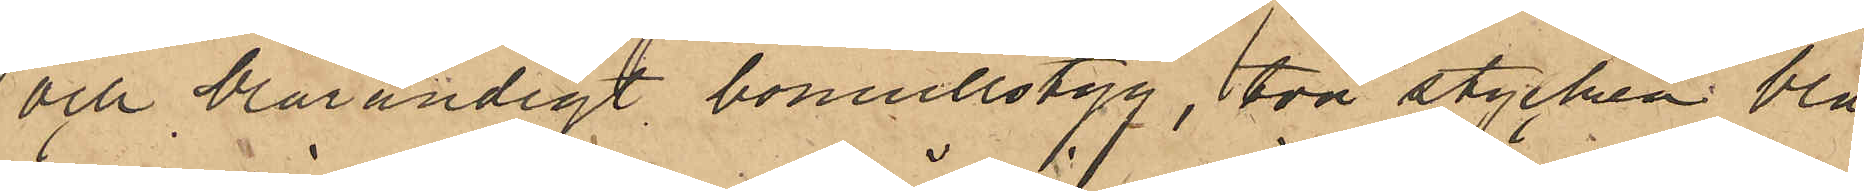och blårandigt bomullstyg, två stycken blå
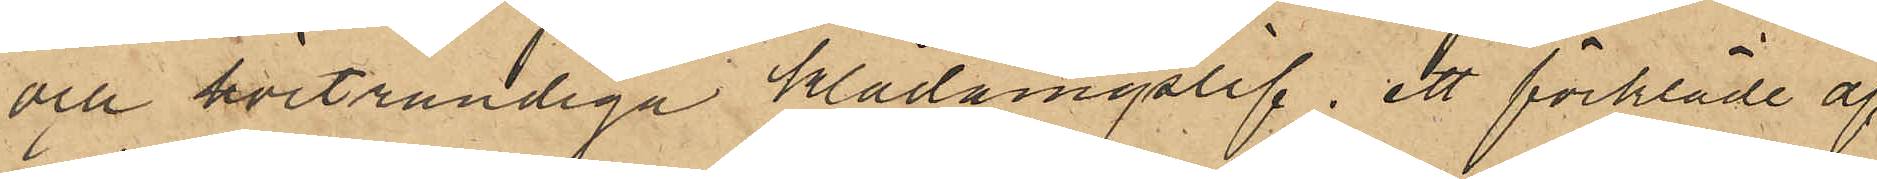och hvitrandiga klädningslif, ett förkläde af
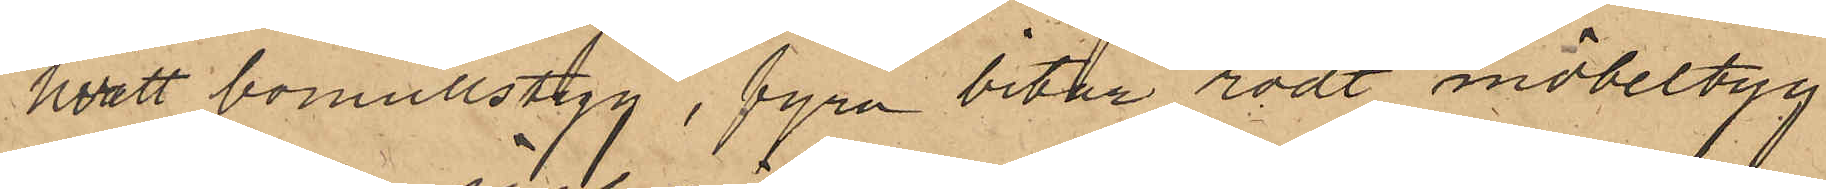hvitt bomullstyg, fyra bitar rödt möbeltyg,
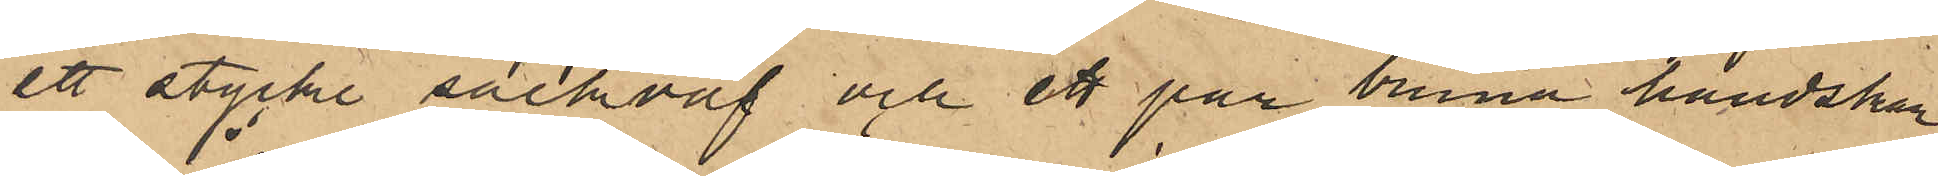ett stycke säckväf och ett par bruna handskar
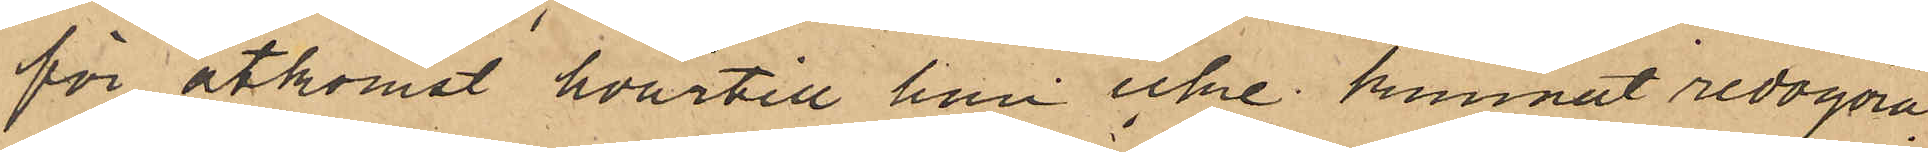för åtkomst hvartill han icke kunnat redogöra.
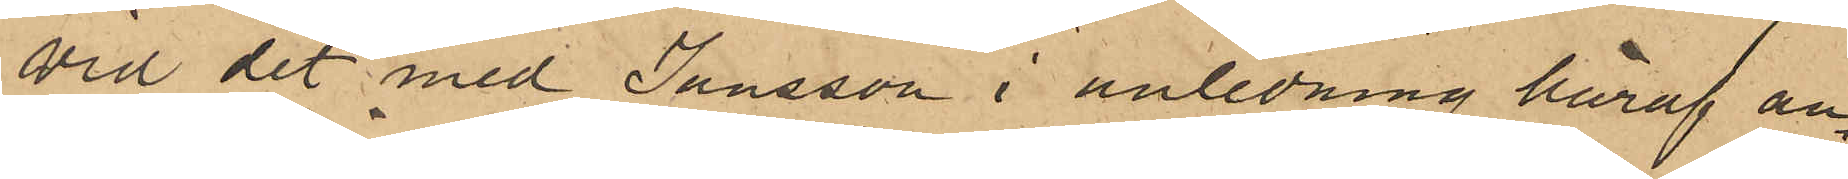Vid det med Jansson i anledning häraf an¬
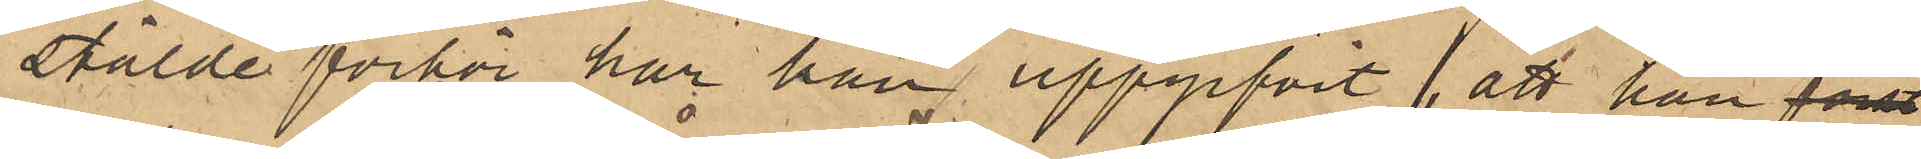stälde förhör har han uppgifvit, att han först
